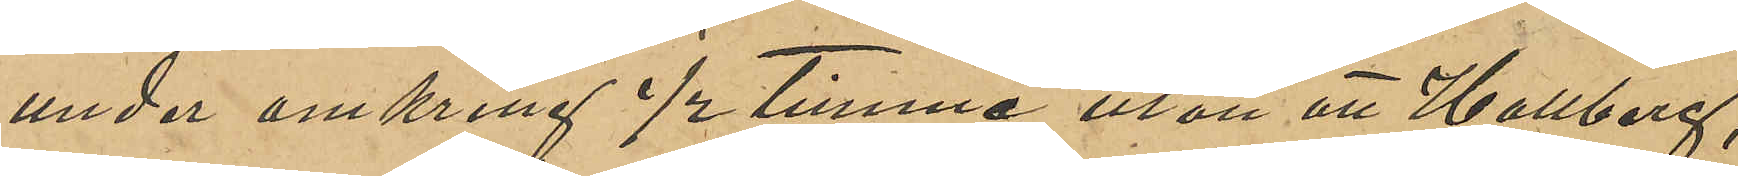under omkring ½ timme utan att Hallberg,
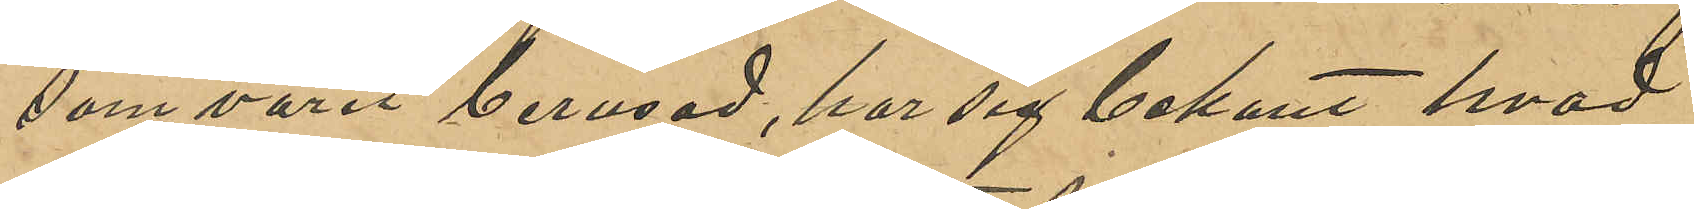som varit berusad, har sig bekant hvad
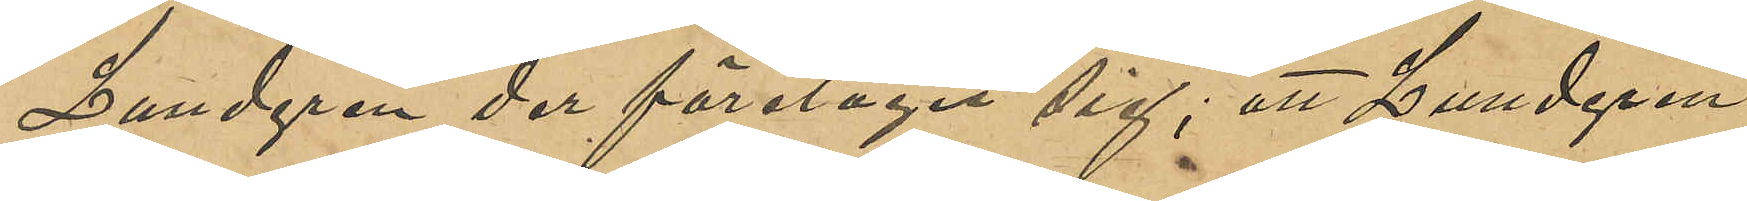Lundgren der företagit sig; att Lundgren
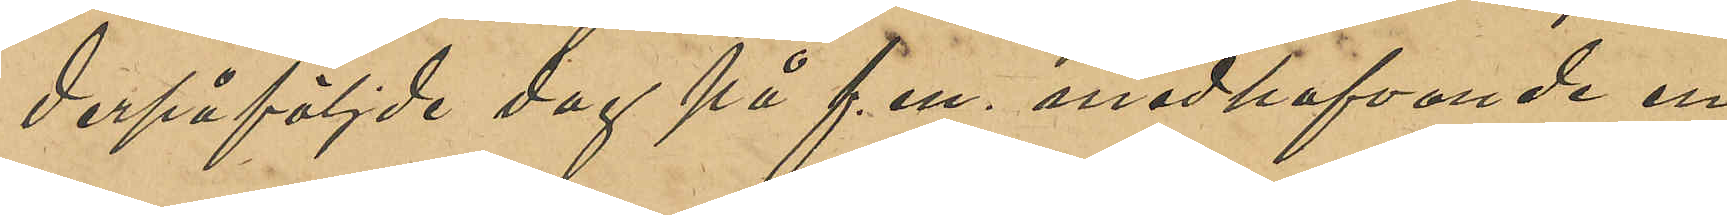derpåföljde dag på f. m. medhafvande en
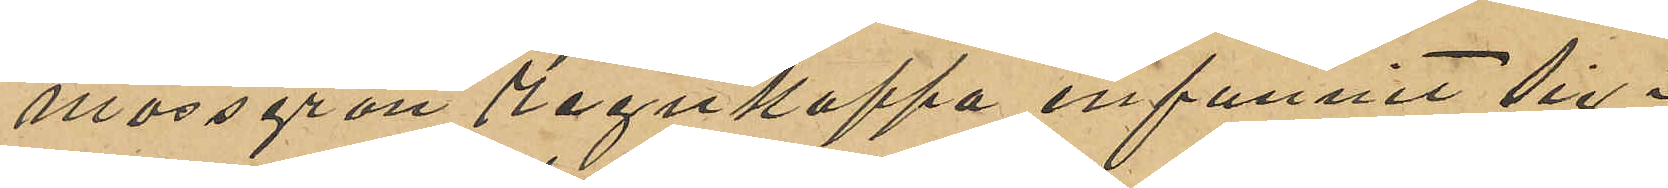mossgrön regnkappa infunnit sig i
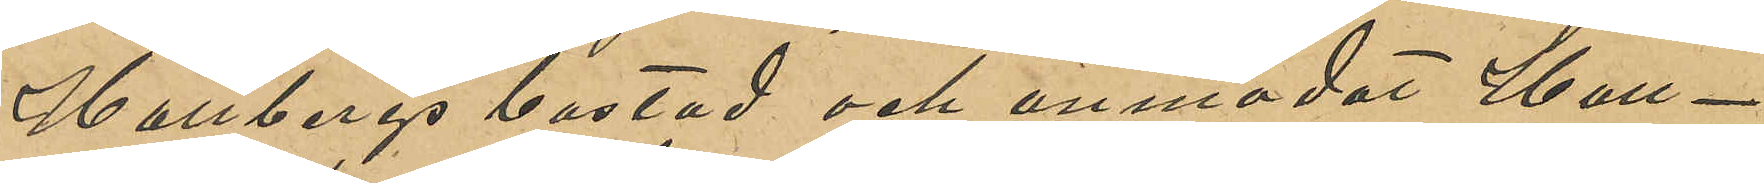Hallbergs bostad och anmodat Hall¬
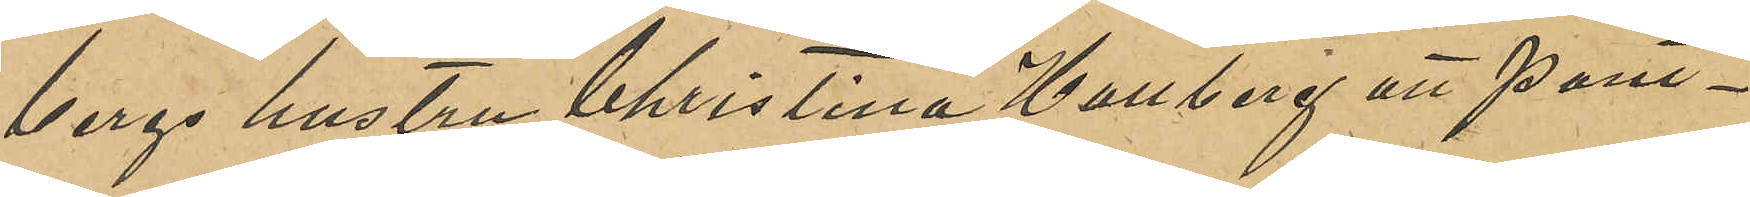bergs hustru Christina Hallberg att pant¬
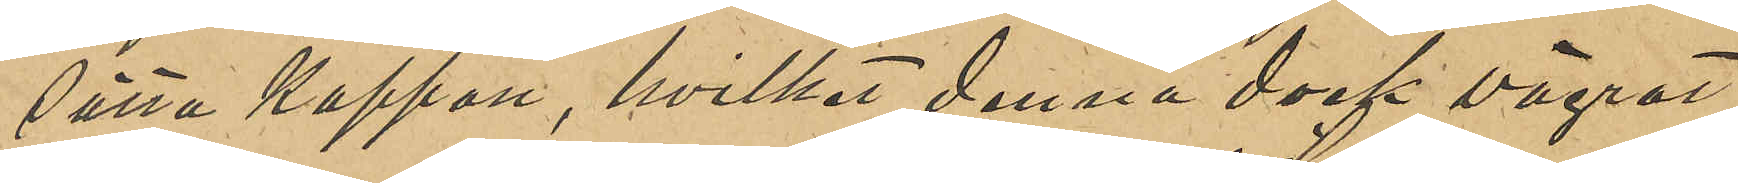sätta kappan, hvilket denna dock vägrat;
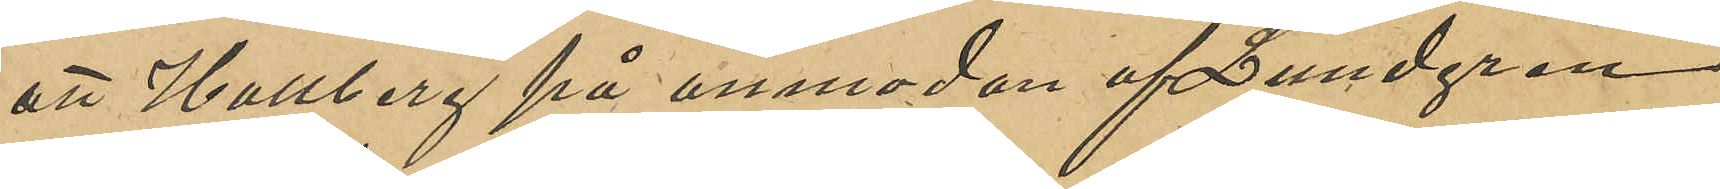att Hallberg på anmodan af Lundgren
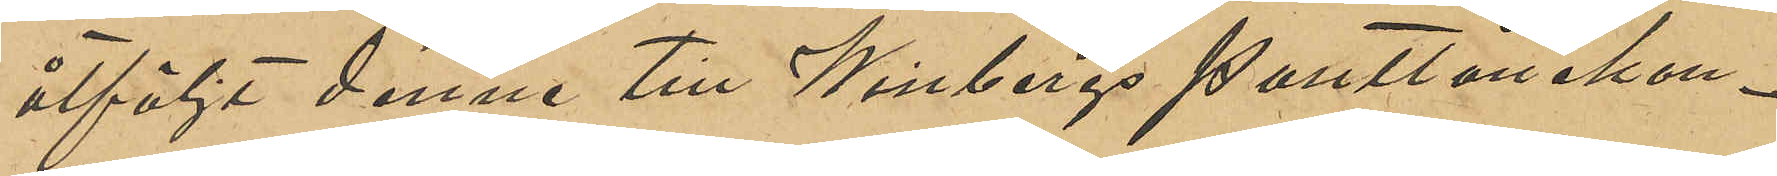åtföljt denne till Winbergs pantlånekon¬
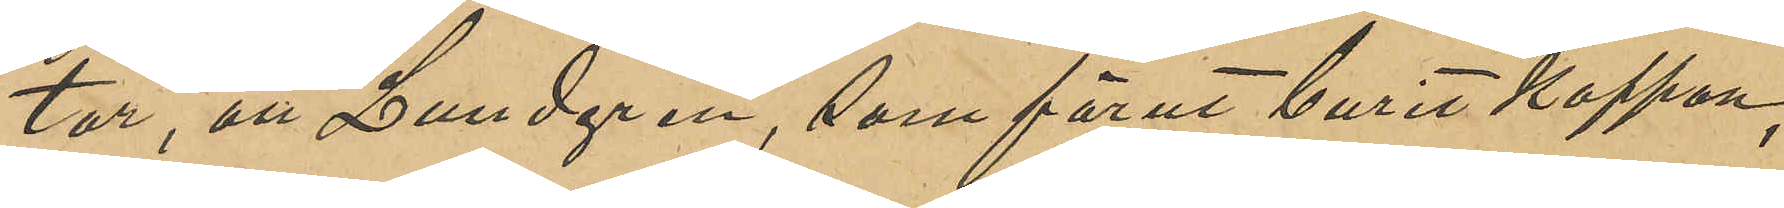tor, att Lundgren, som förut burit kappan,
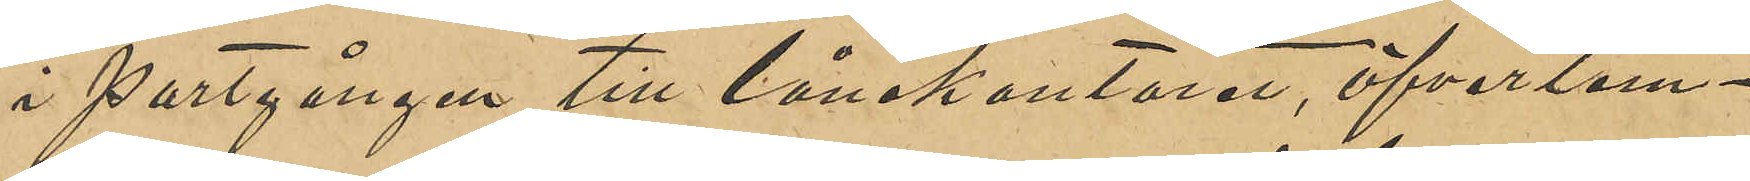i portgången till lånekontoret, öfverlem¬
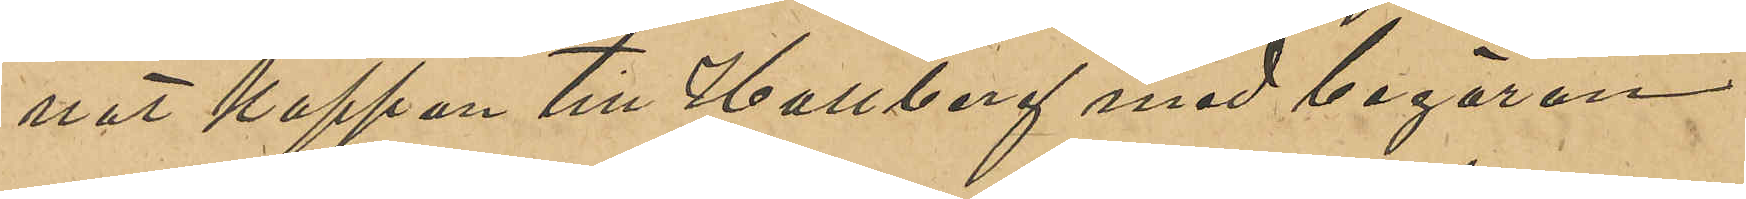nat kappan till Hallberg med begäran
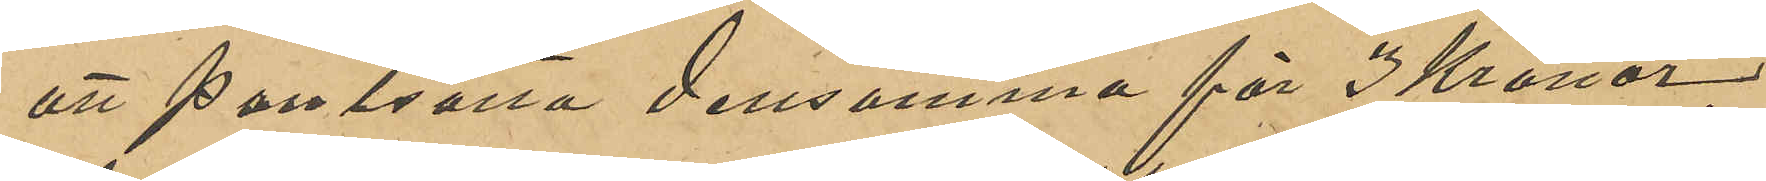att pantsätta densamma för 3 Kronor,
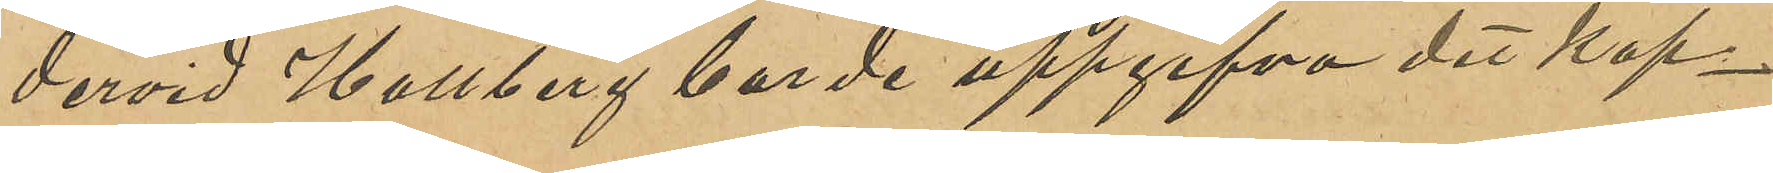dervid Hallberg borde uppgifva det kap¬
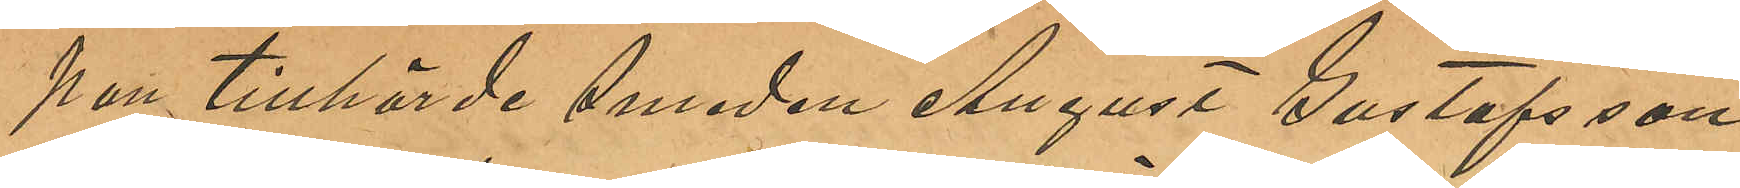pan tillhörde August Gustafsson
